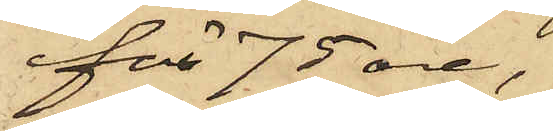för 75 öre,
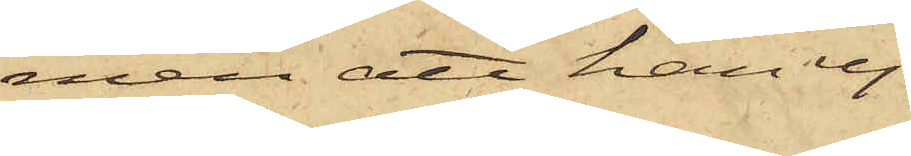men att han ej
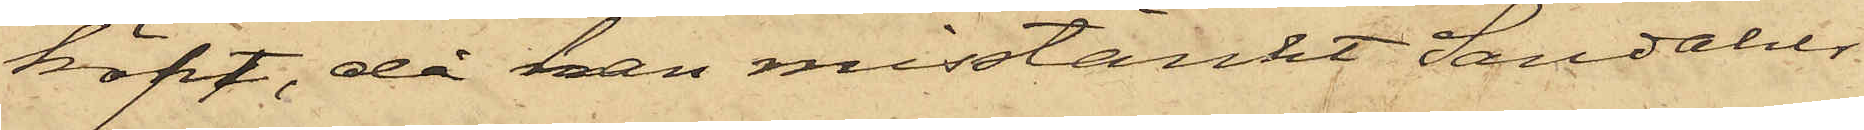köpt, då han misstänkt Sandahls
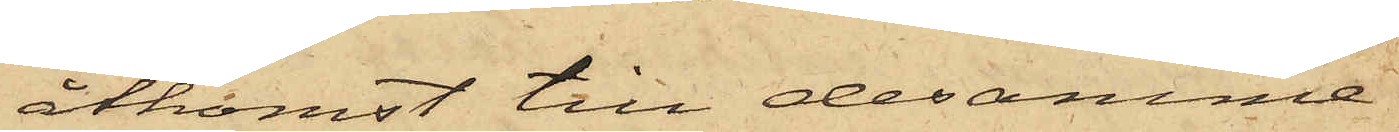åtkomst till desamma.
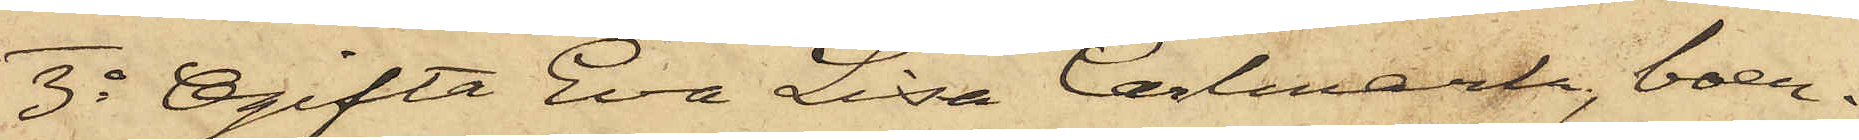3o Ogifta Eva Lisa Carlmark, boen¬
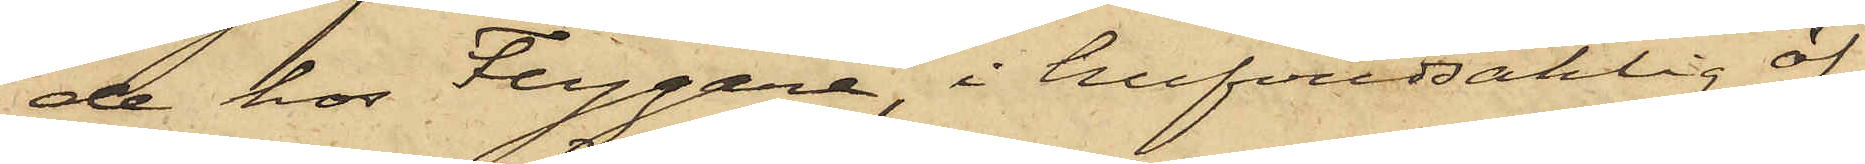de hos Flygare, i hufvudsaklig öf¬
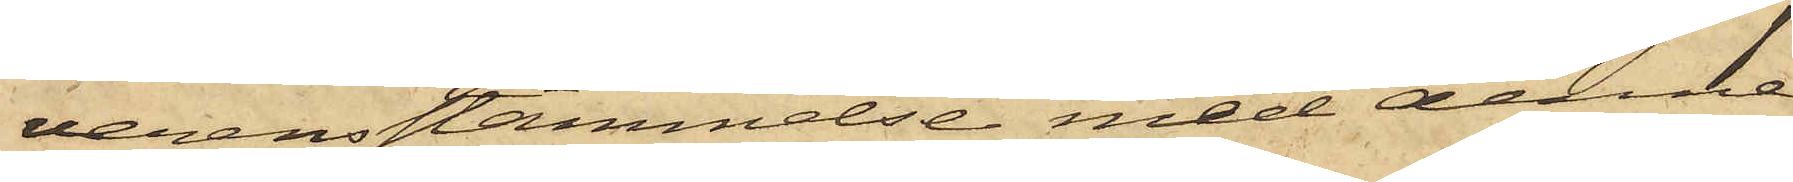verensstämmelse med denne
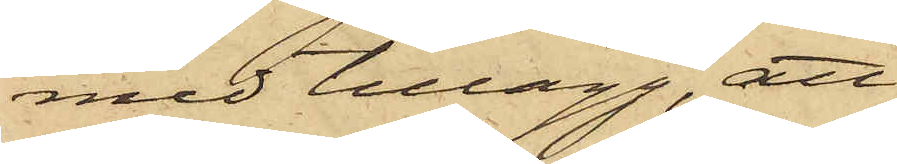med tillägg, att
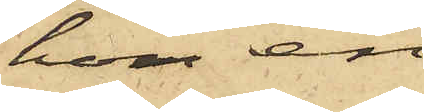hon en
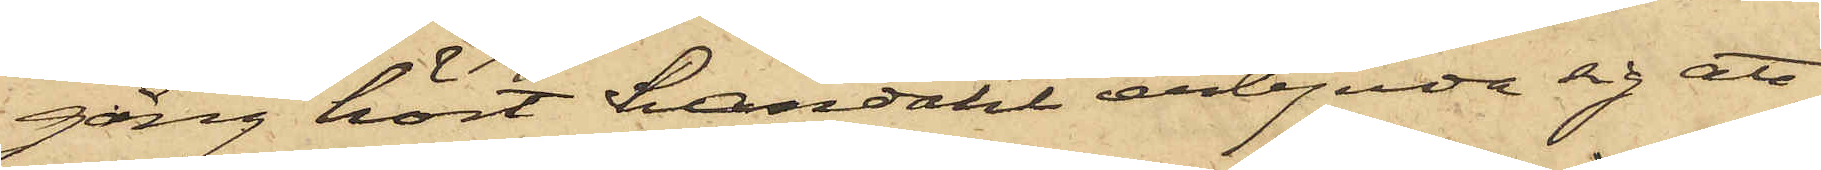gång hört Sandahl erbjuda sig att
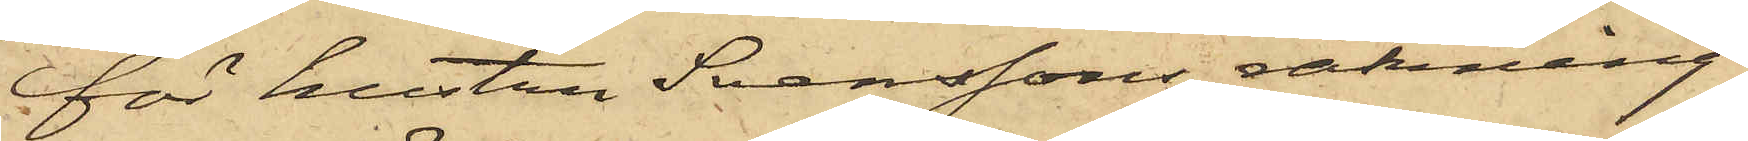för hustru Svenssons räkning
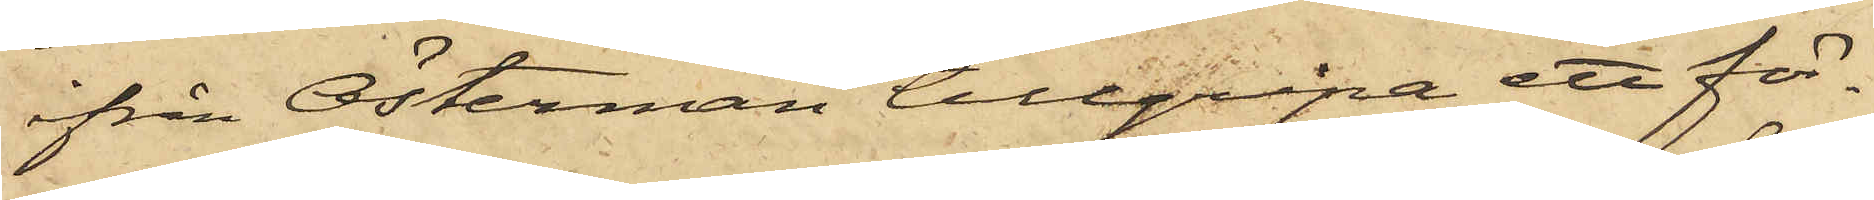ifrån Österman tillgripa ett för¬
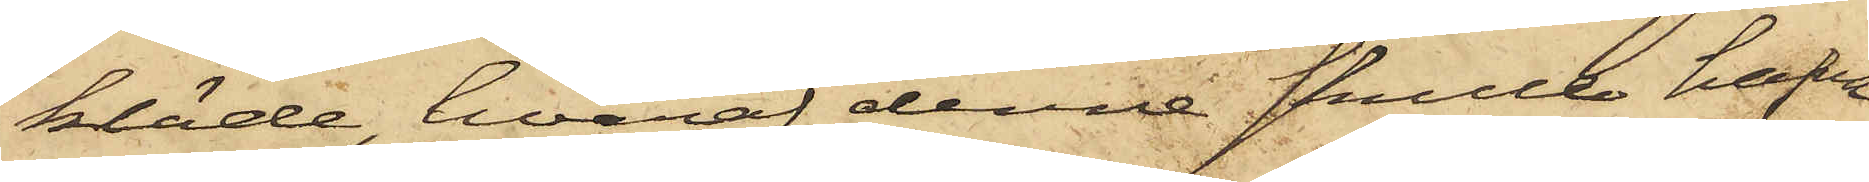kläde, hvaraf denne skulle hafva
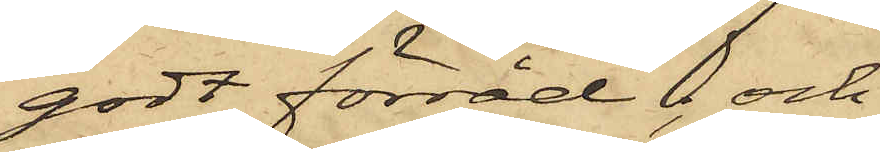godt förråd; och
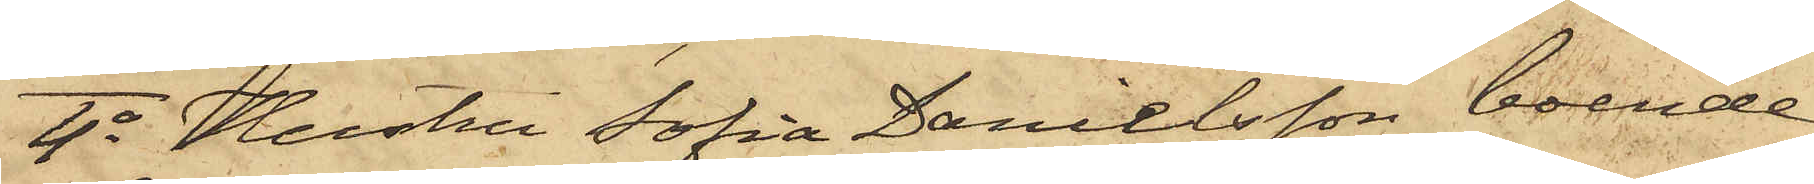4o Hustru Sofia Danielsson, boende
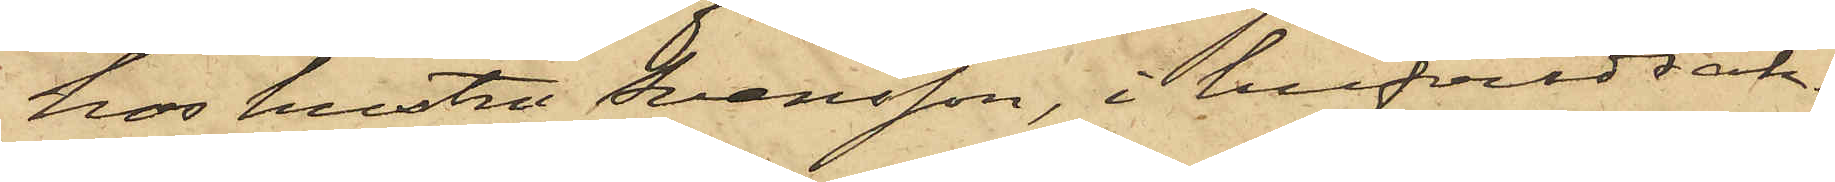hos hustru Svensson, i hufvudsak¬
